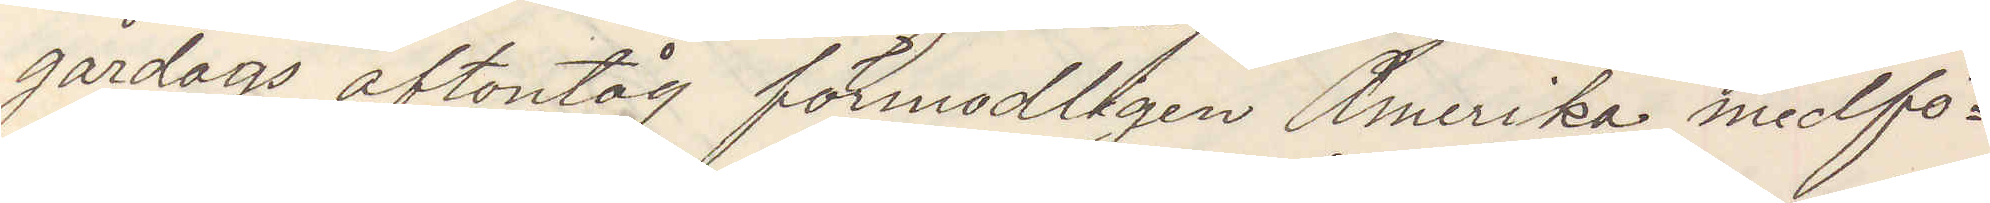gårdags aftontåg förmodligen Amerika medför¬
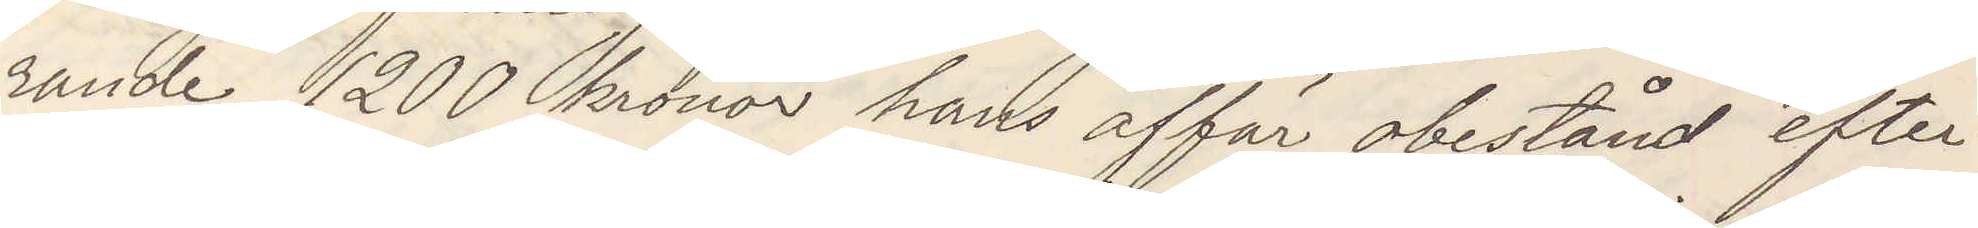rande 1200 kronor hans affär obestånd efter¬
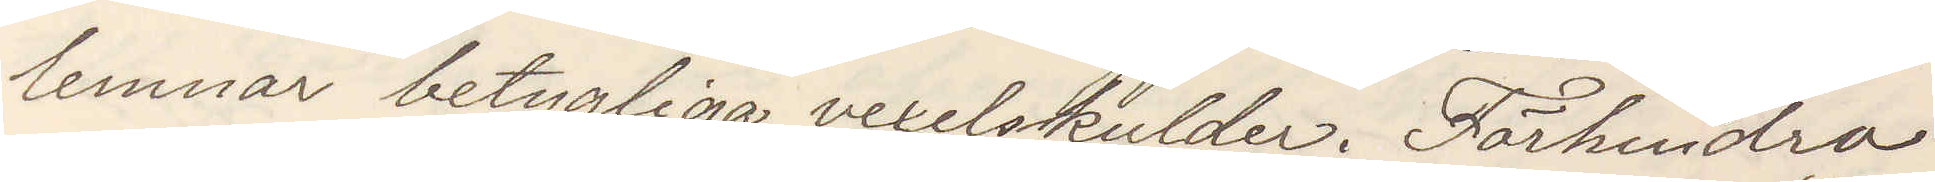lemnar betygliga vexelskulder. Förhindra
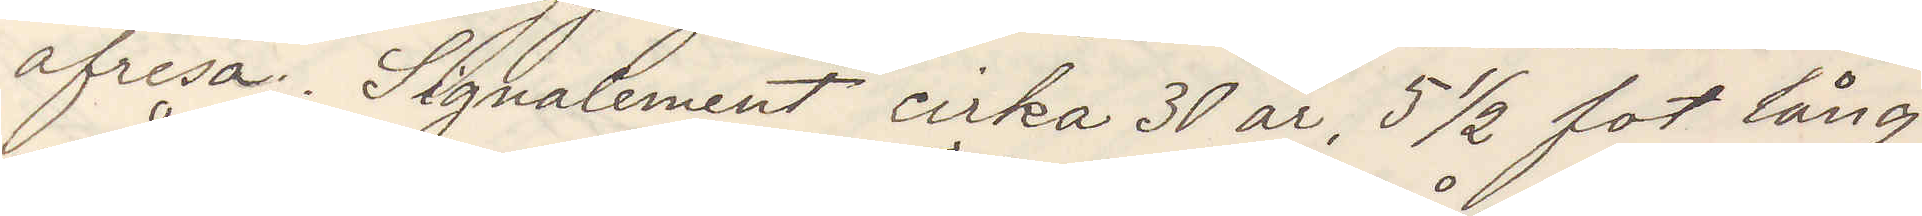afresa. Signalement cirka 30 år, 5 ½ fot lång
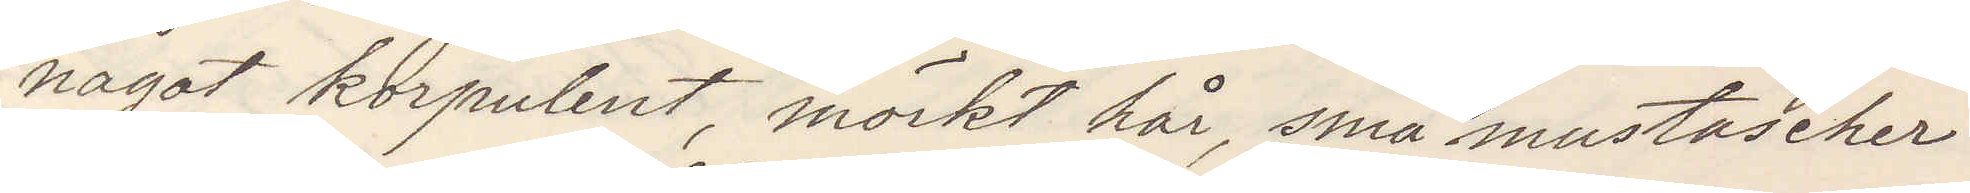något korpulent, mörkt hår, små mustascher
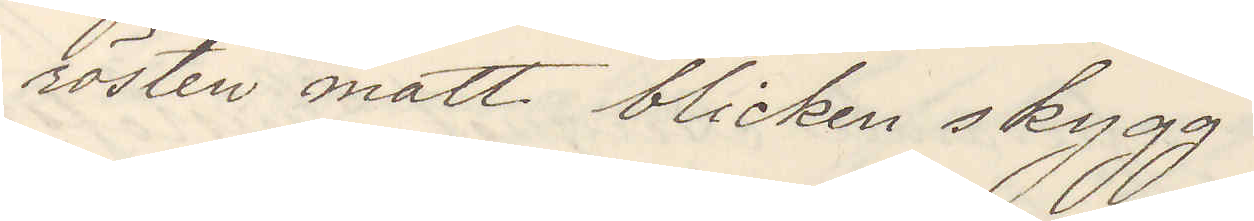rösten matt blicken skygg.
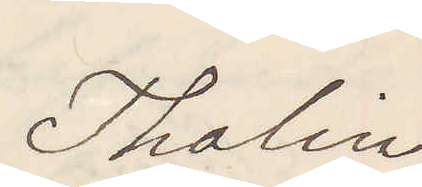Thalin
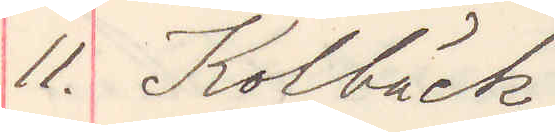11. Kolbäck
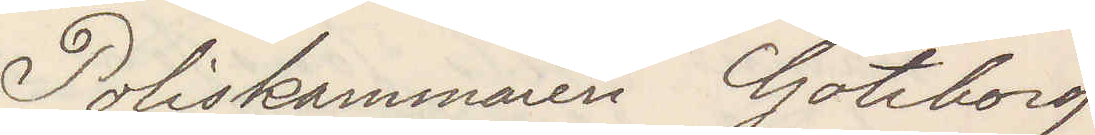Poliskammaren Göteborg
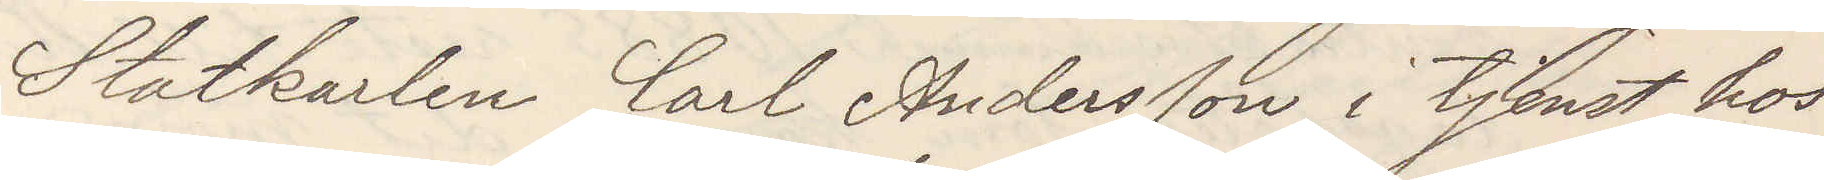Statkarlen Carl Andersson i tjenst hos
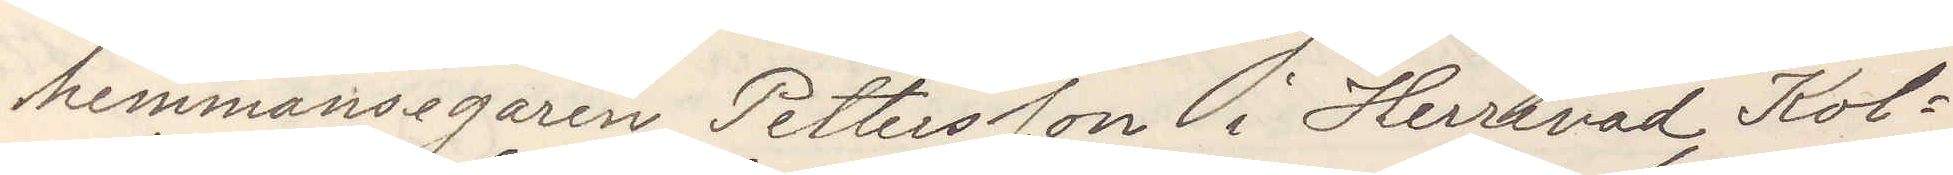hemmansegaren Pettersson i Herrevad Kol¬
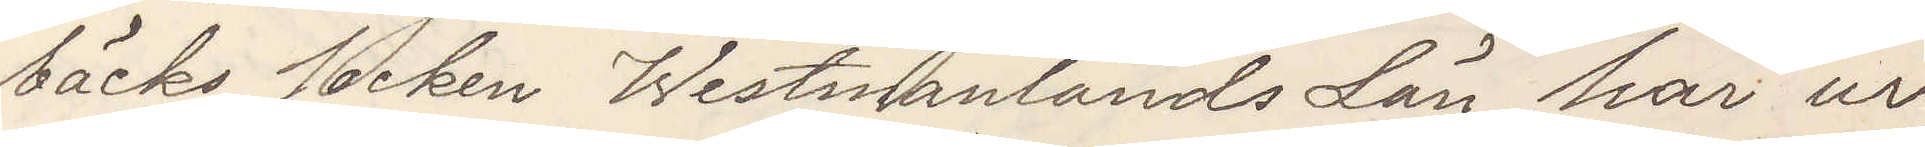bäcks socken Westmanlands Län har ur
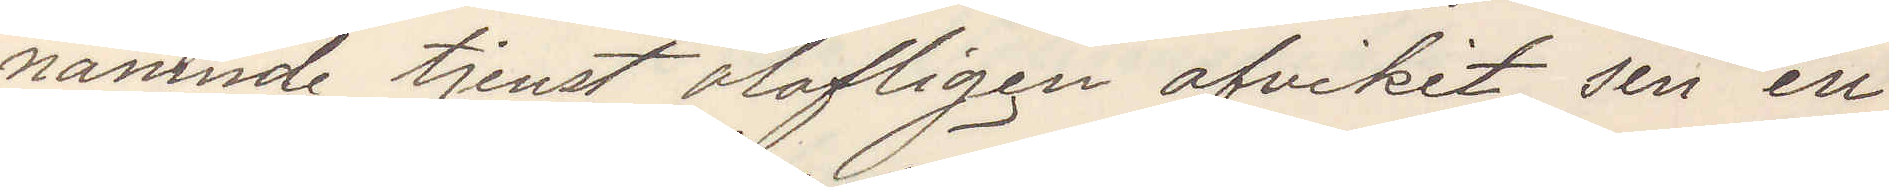nämnde tjenst olofligen afvikit sen en
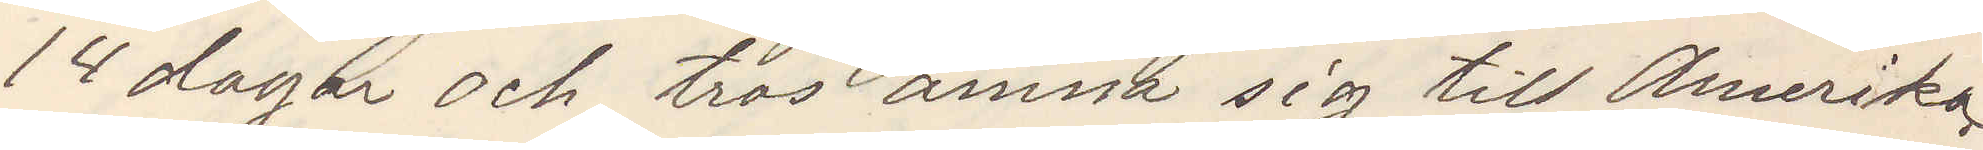14 dagar och tros ämna sig till Amerika
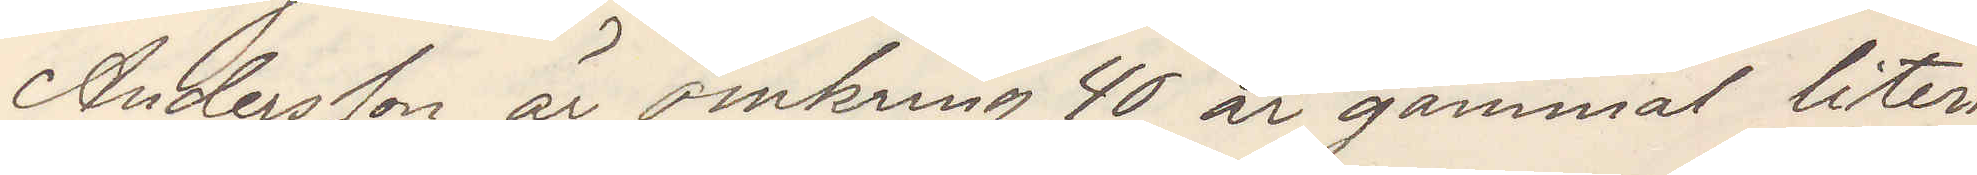Andersson är omkring 40 år gammal liten
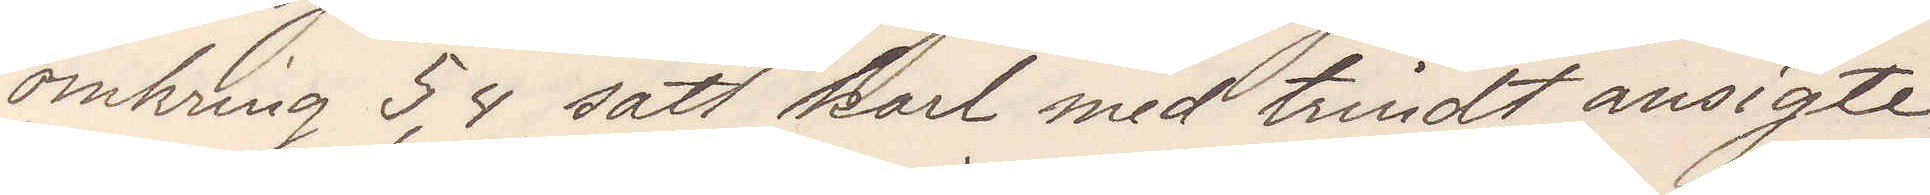omkring 5,4 satt karl med trindt ansigte
